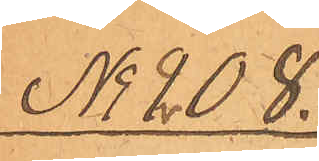No 208.
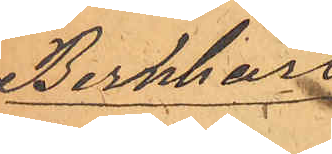Bernhard
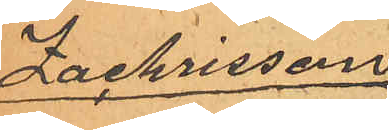Zachrisson
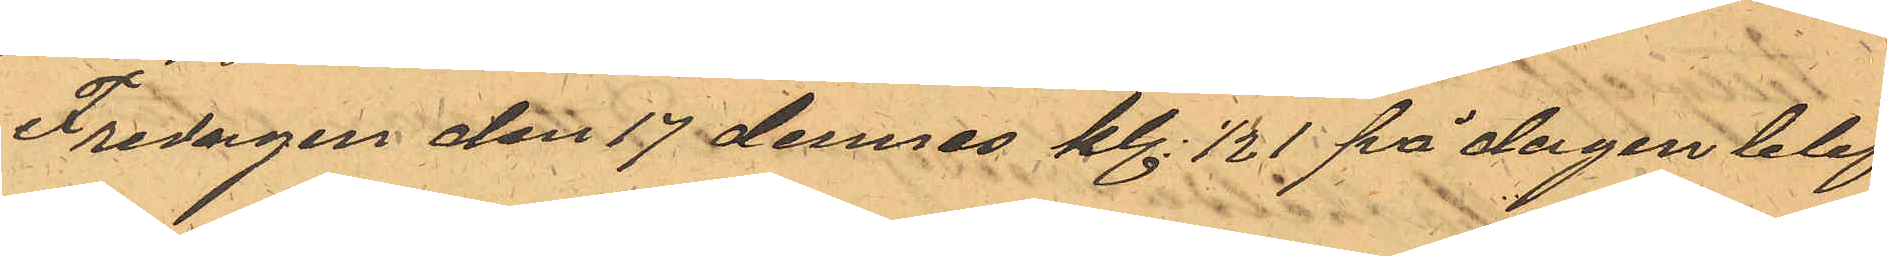Fredagen den 17 dennes kl. 1/2 1 på dagen blef
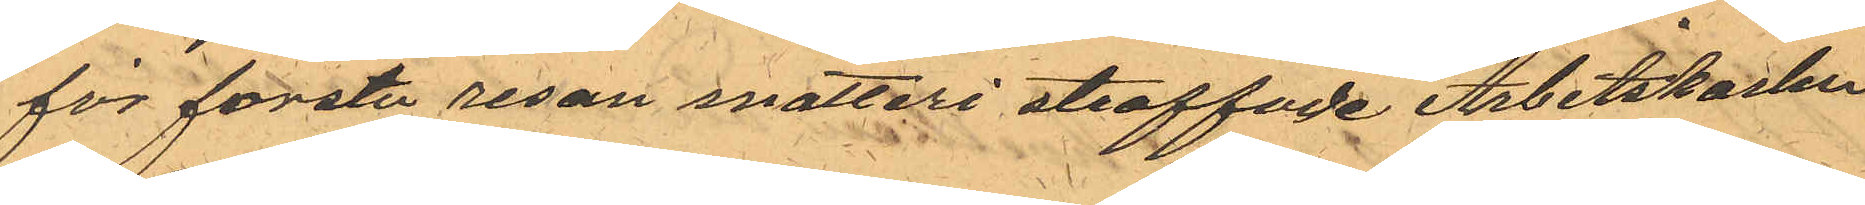för första resan snatteri straffade Arbetskarlen
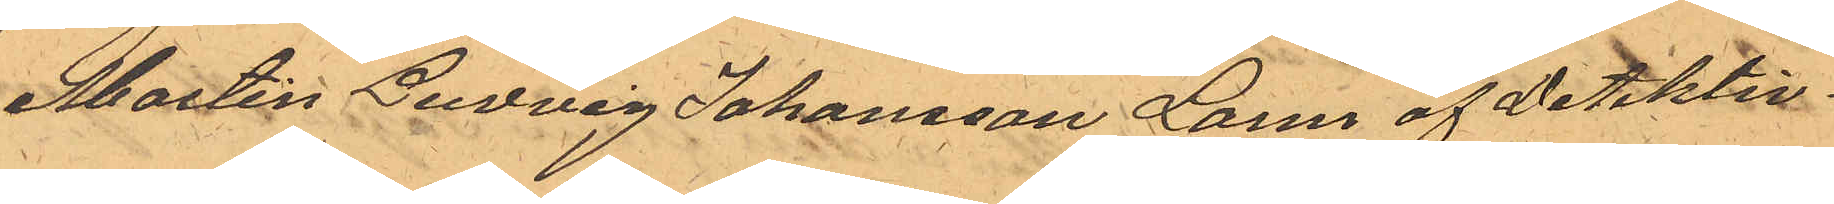Martin Ludvig Johansson Larm af Detektiv¬
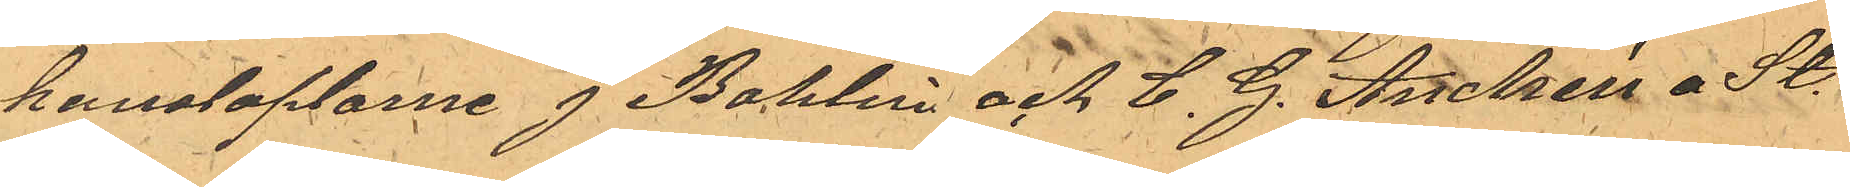konstaplarne J Bohlin och C. G. Andrén a St.
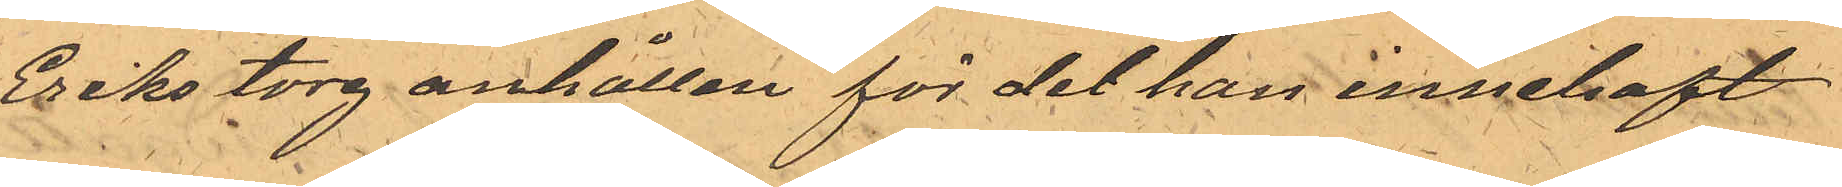Eriks torg anhållen för det han innehaft
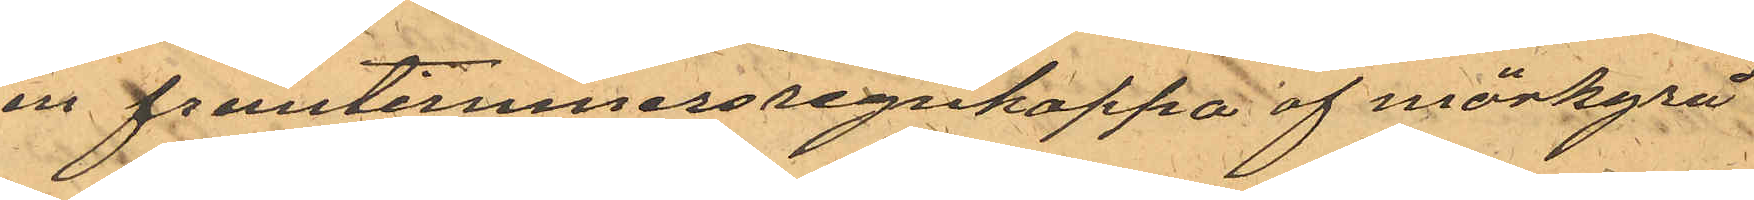en fruntimmersregnkappa af mörkgrå
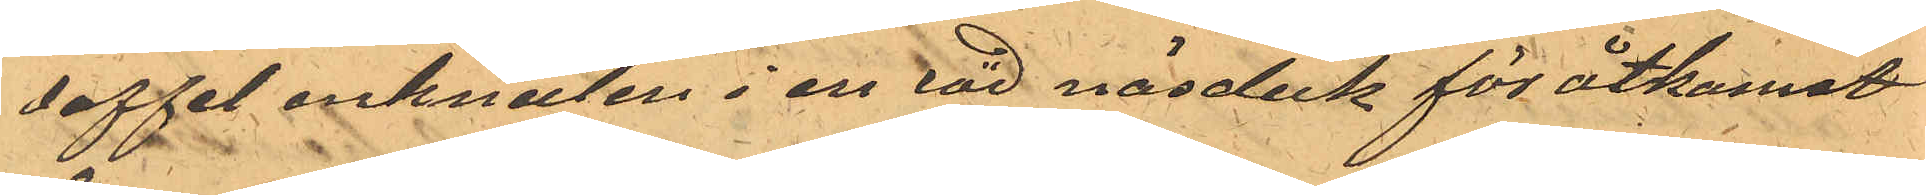doffel inknuten i en röd näsduk för åtkomst
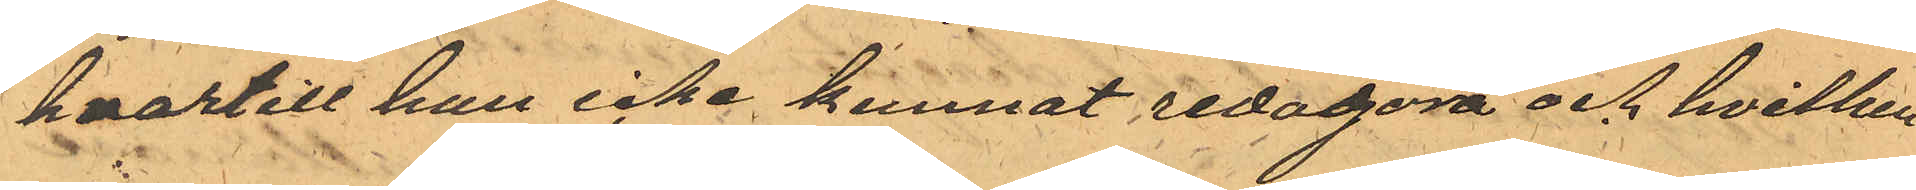hvartill han icke kunnat redogöra och hvilken
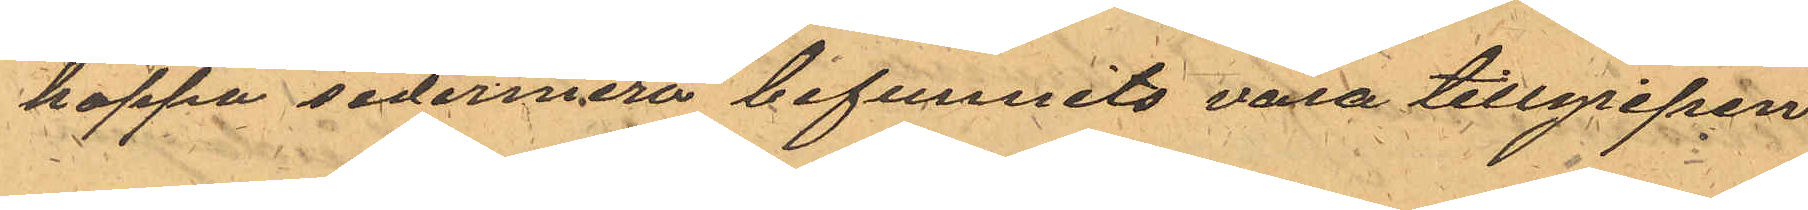kappa sedermera befunnits vara tillgripen
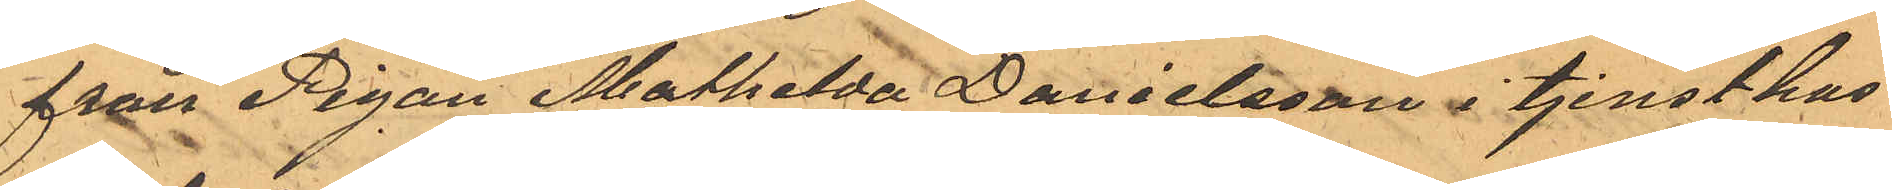från Pigan Mathilda Danielsson i tjenst hus
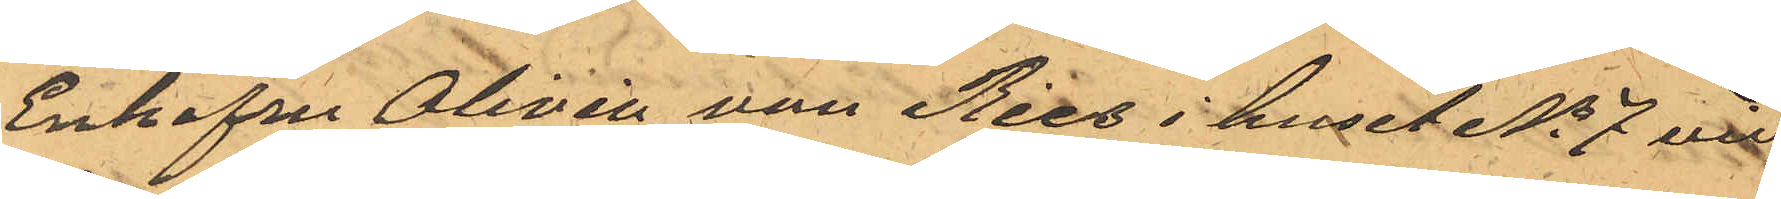Enkefru Olivia van Ries i huset No 7 vid
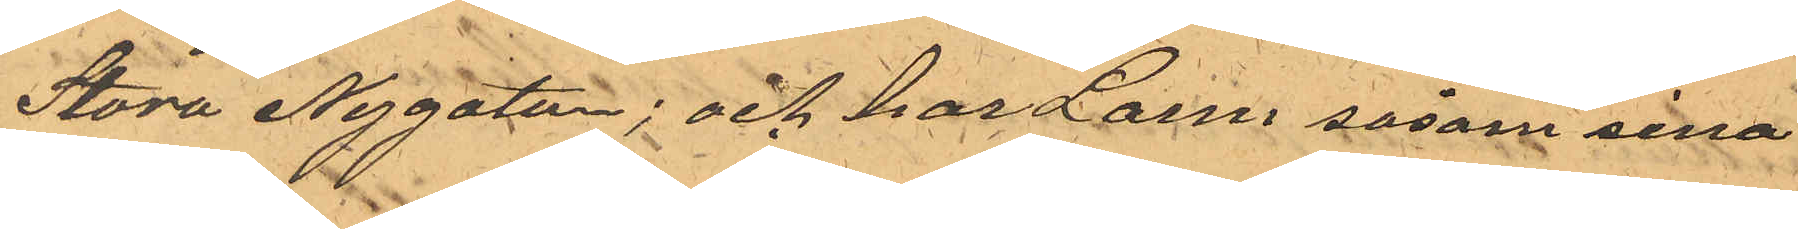Stora Nygatan; och har Larm såsom sina
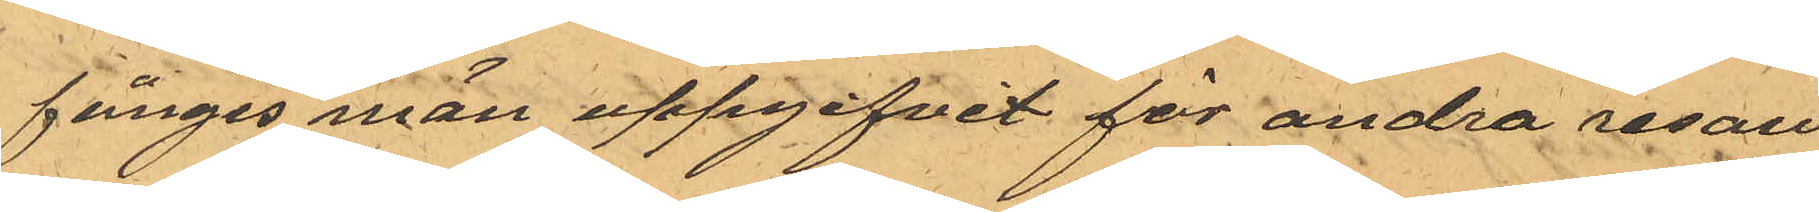fånges män uppgifvit för andra resan
